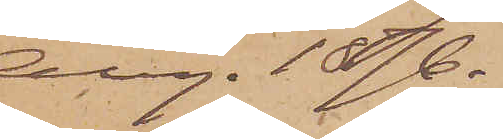Aug. 1876.
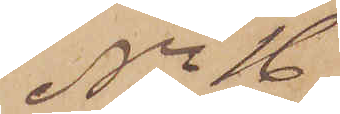No 16
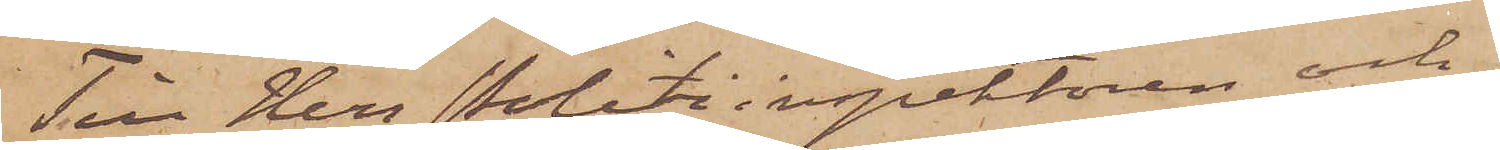Till Herr Politiinspektören och
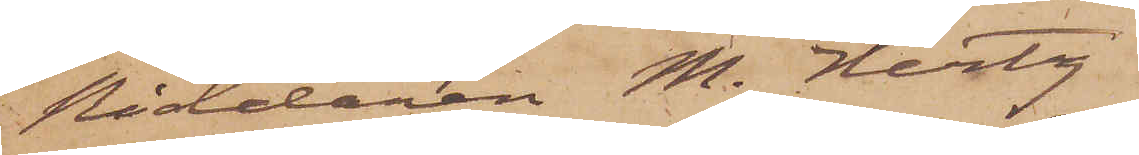Riddaren M. Hertz
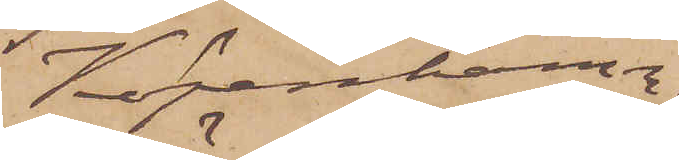Köpenhamn.
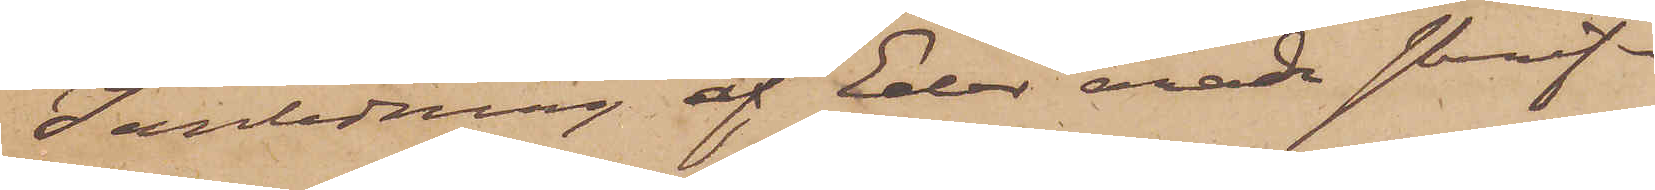I anledning af Eder ärade skrif¬
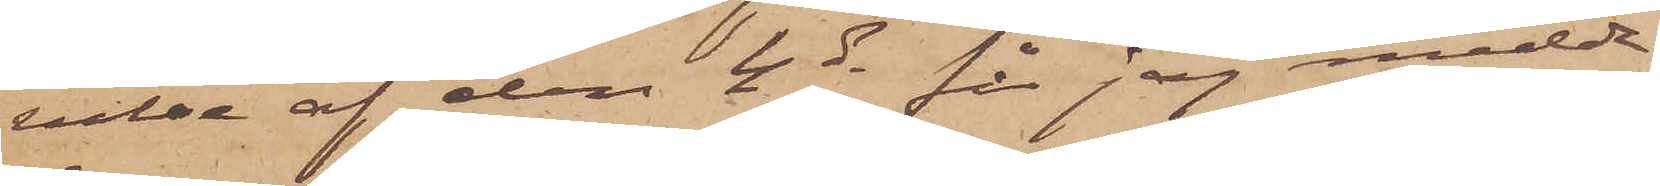velse af den 4 ds får jag medde¬
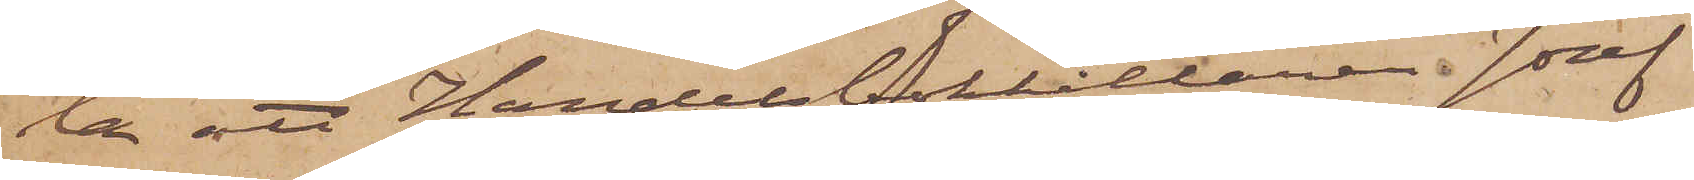la att Handelsbokhållaren Josef
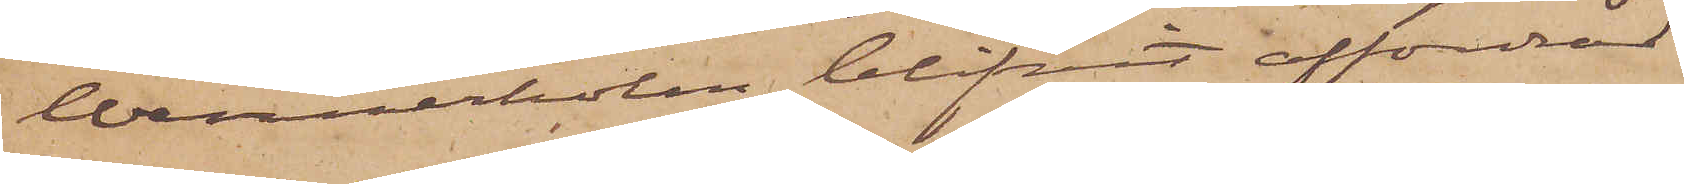Wennerholm blifvit affordrad
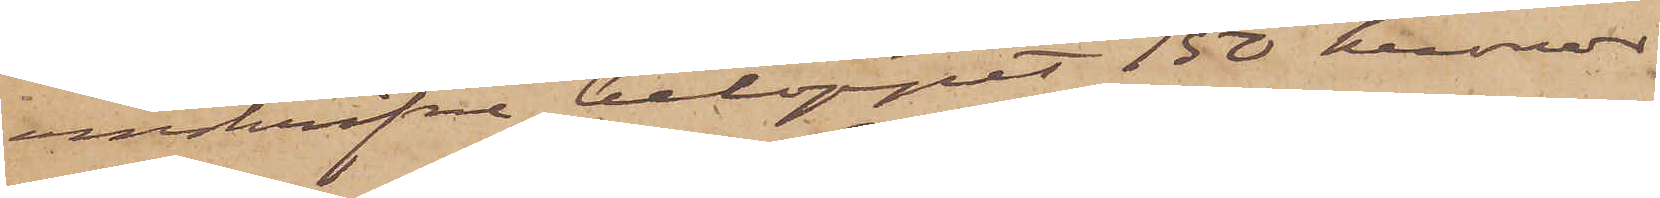omskrifvna beloppet 150 kronor
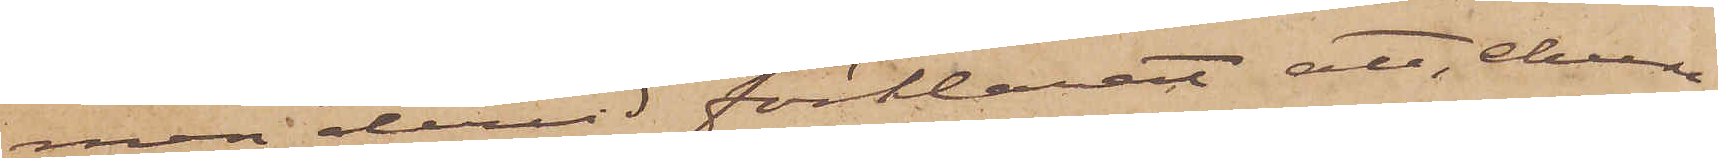men dervid förklarat att, ehuru
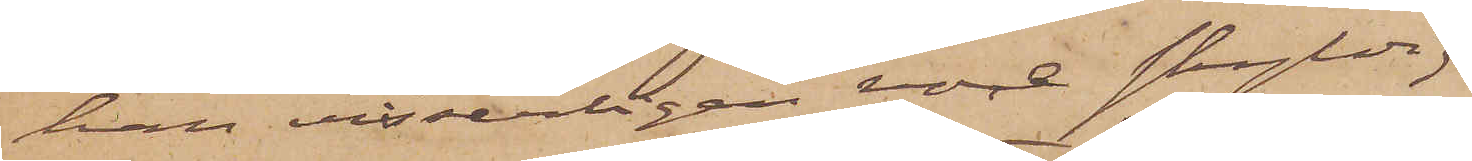han visserligen vore skyldig
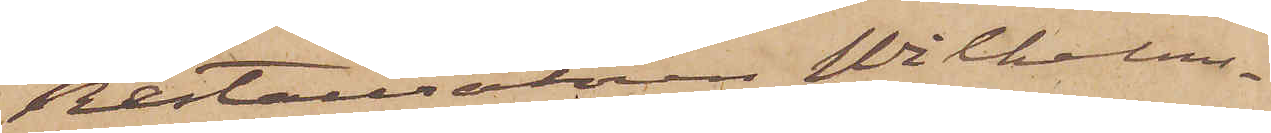Restauratören Wilhelms¬
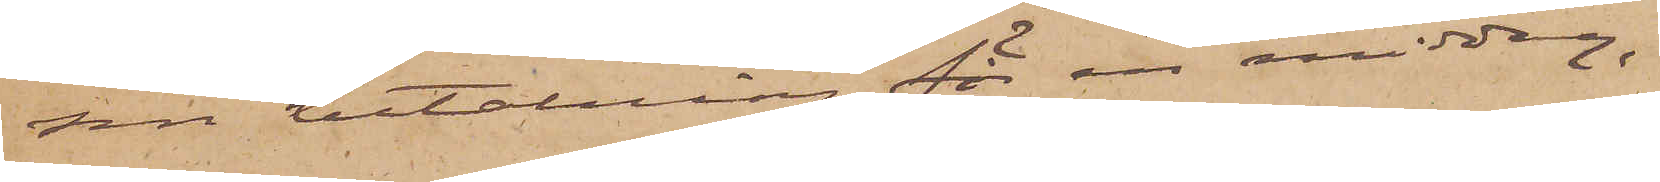son betalning för en middag,
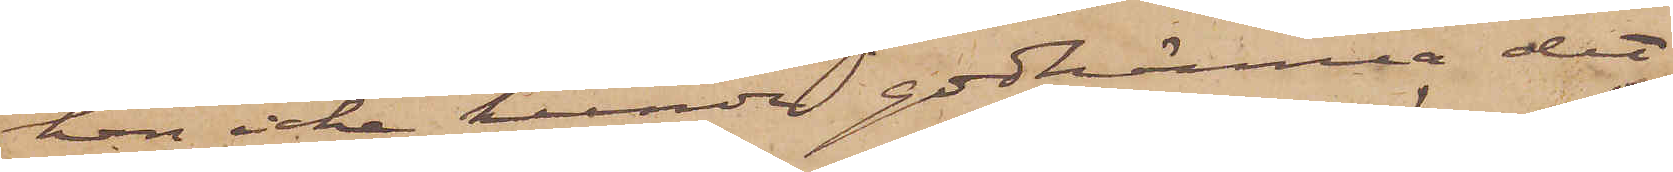han icke kunde godkänna det
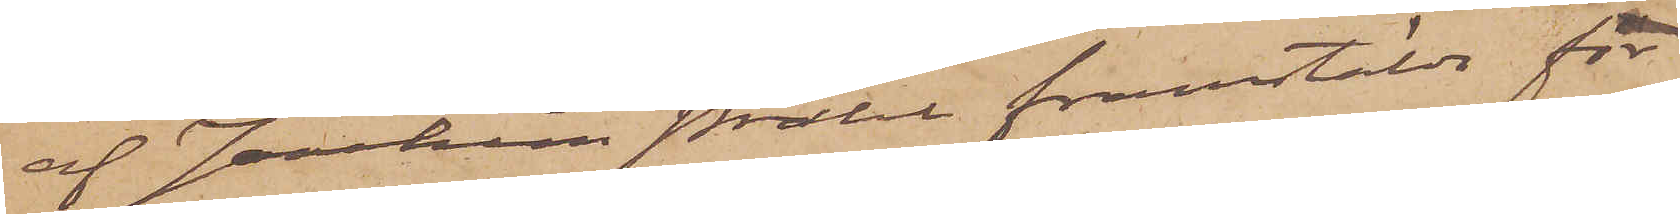af Joachim Prahl framstälde for¬
